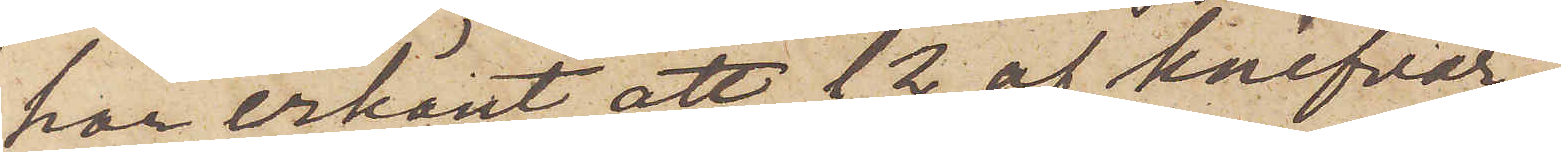har erkänt att 12 af knifvar¬
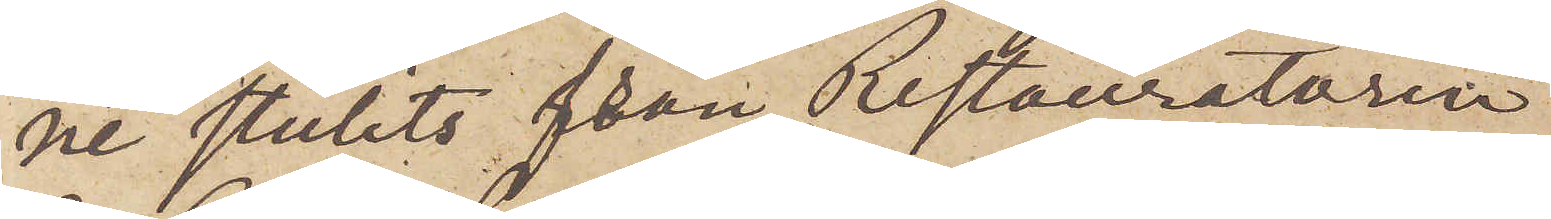ne stulits från Restauratören
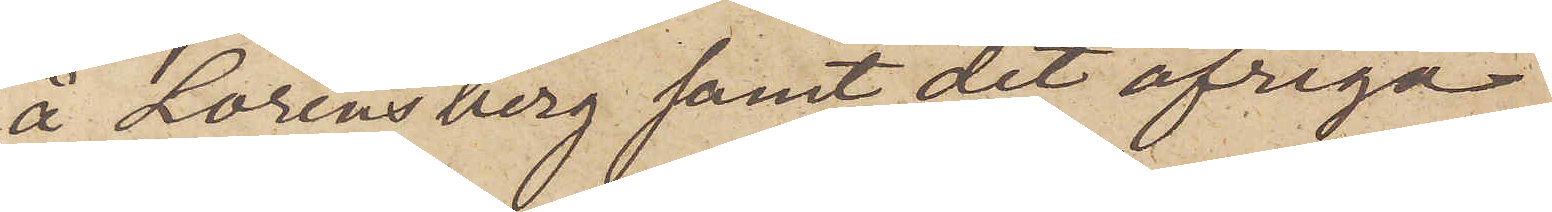å Lorensberg samt det öfriga,
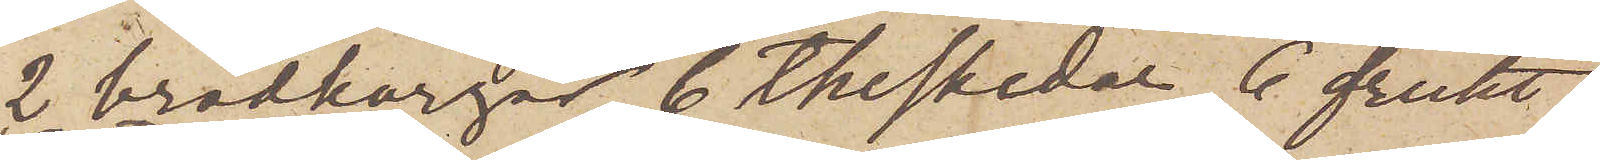2 brödkorgar, 6 theskedar, 6 frukt¬
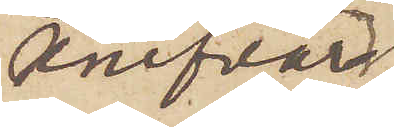knifvar,
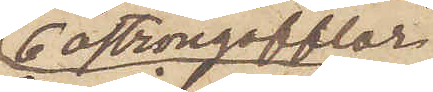6 ostrongafflar
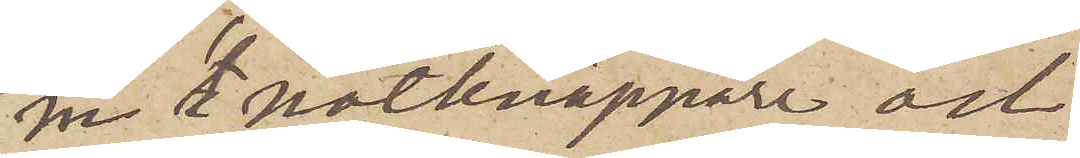en nötknäppare och
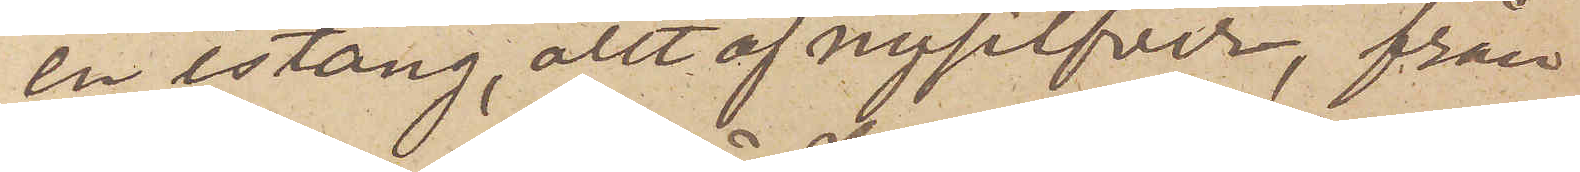en istång, allt af nysilfver, från
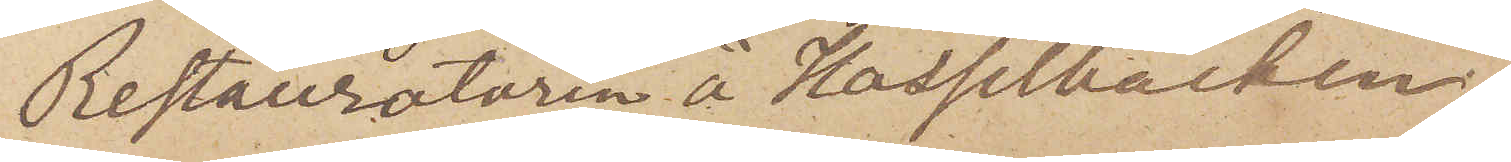Restauratören å Hasselbacken,
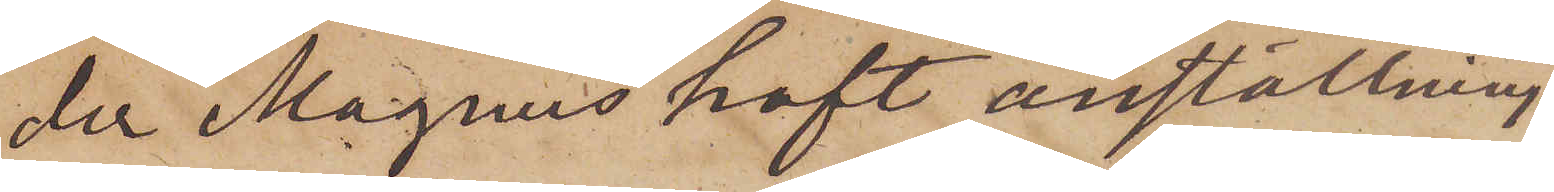der Magnus haft anställning
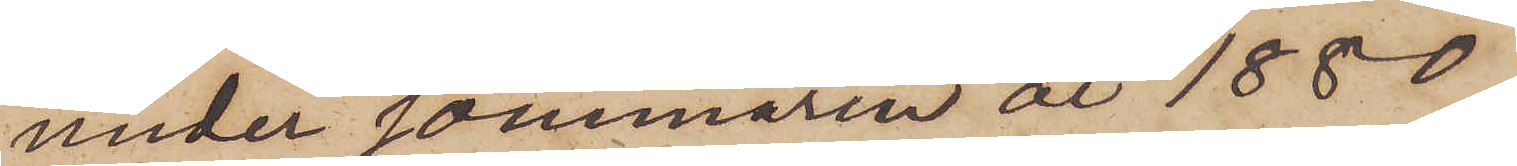under sommaren år 1880.
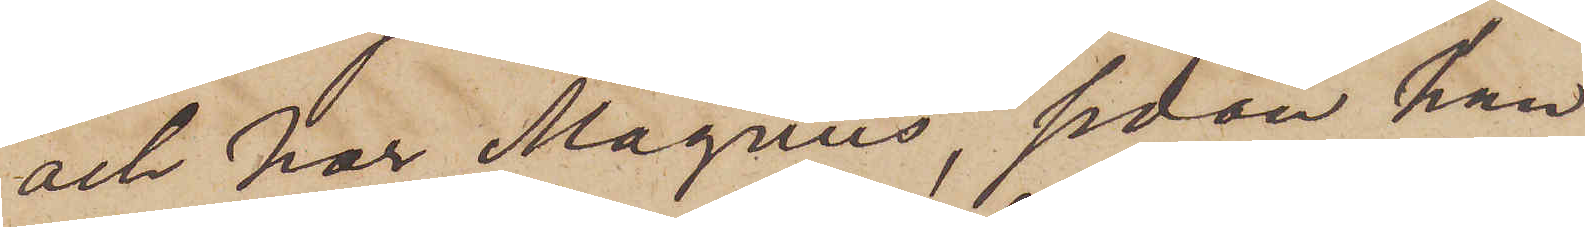och har Magnus, sedan han
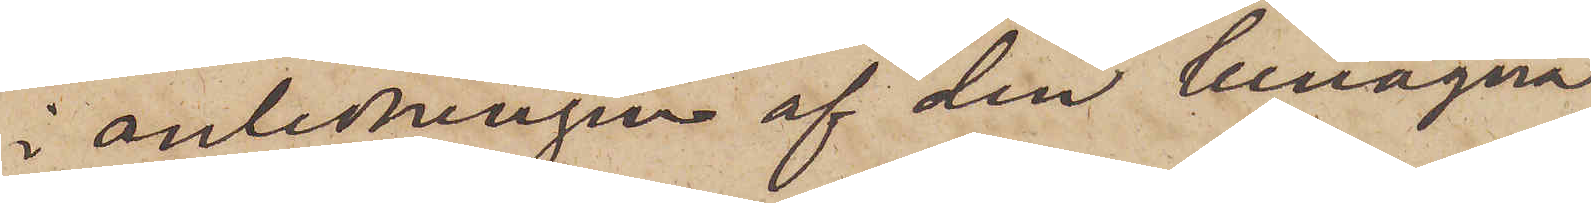i anledningen af den benägna
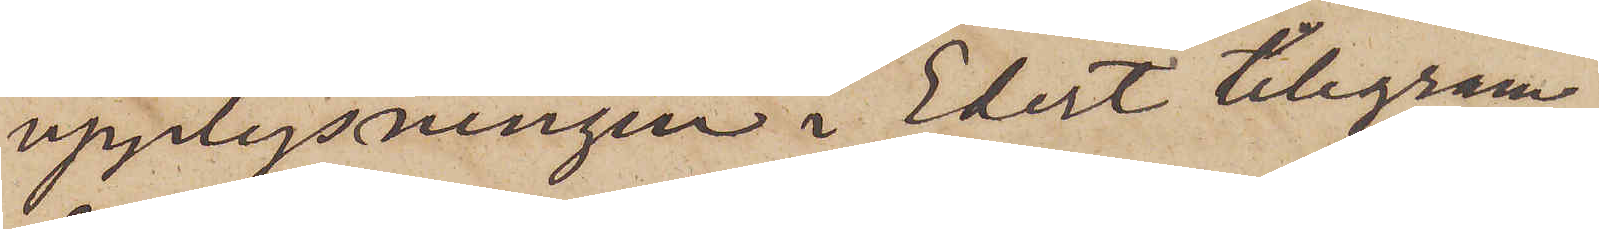upplysningen i Edert telegram
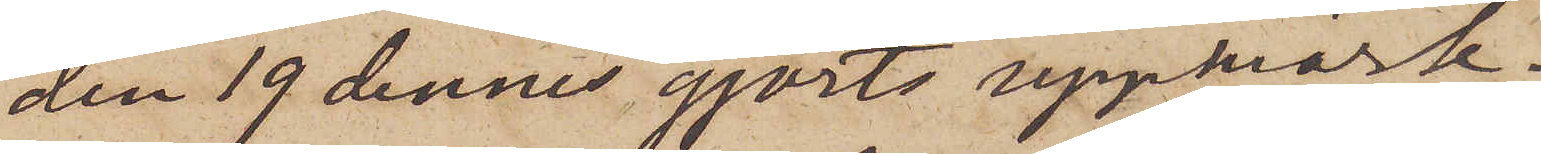den 19 dennes gjorts uppmärk¬
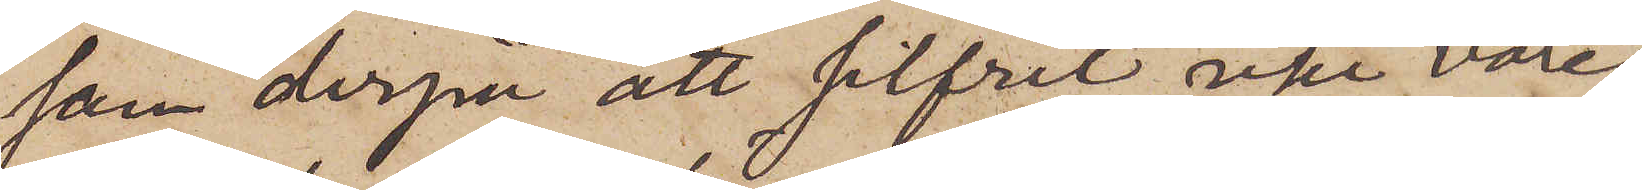sam derpå att silfret icke vore
